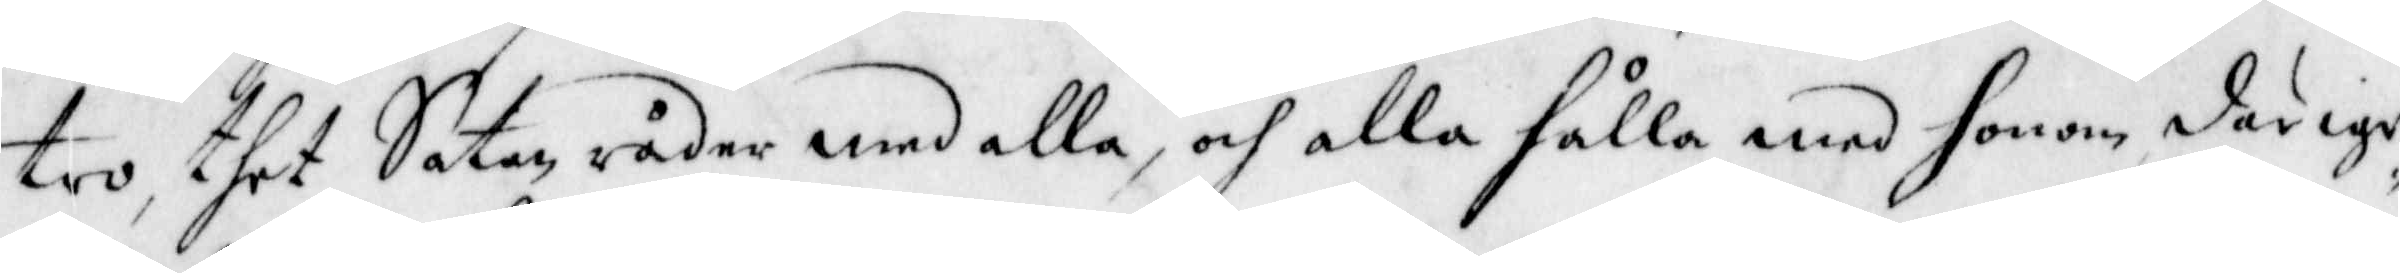tro, thet Satan råder med alla, och alla hålla men honom därige¬
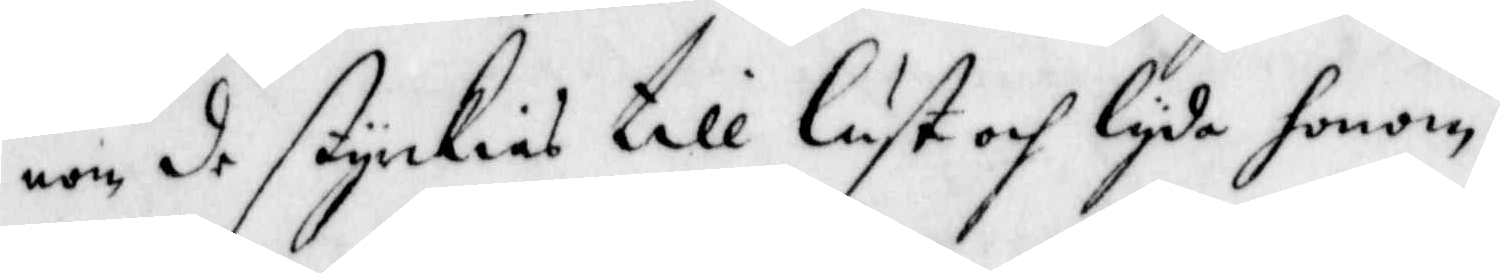nom, de styrckias till lust och lyda honom.
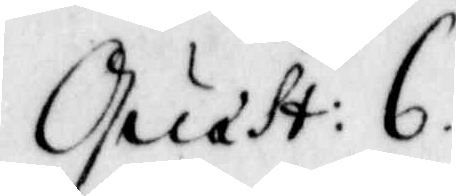Quast: 6.
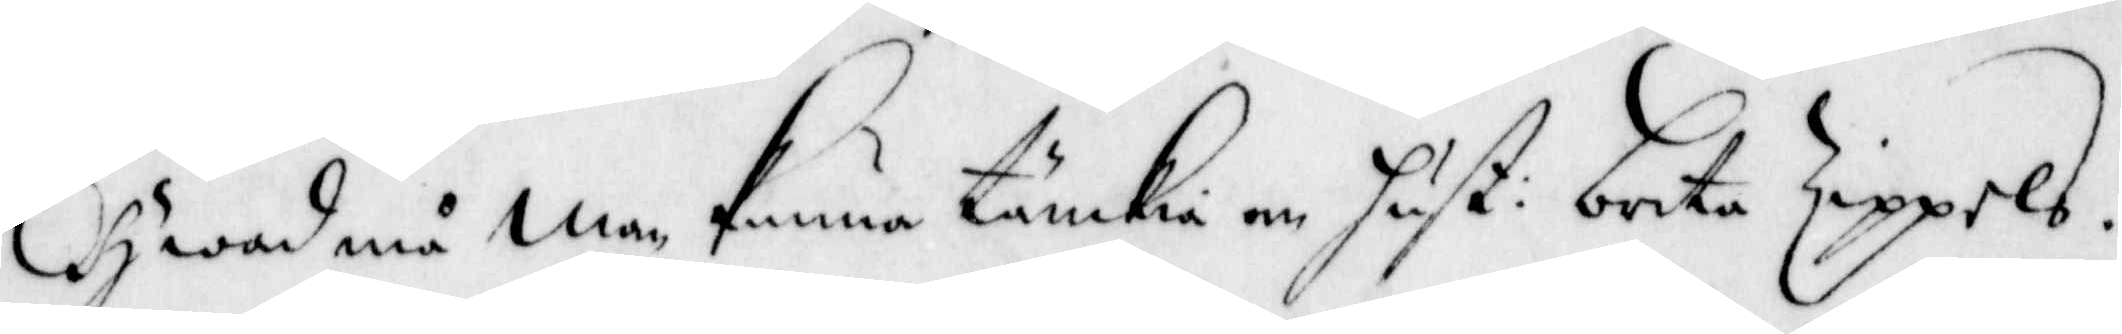Hwad må man kunna tänkia om hust: brita Zippels.
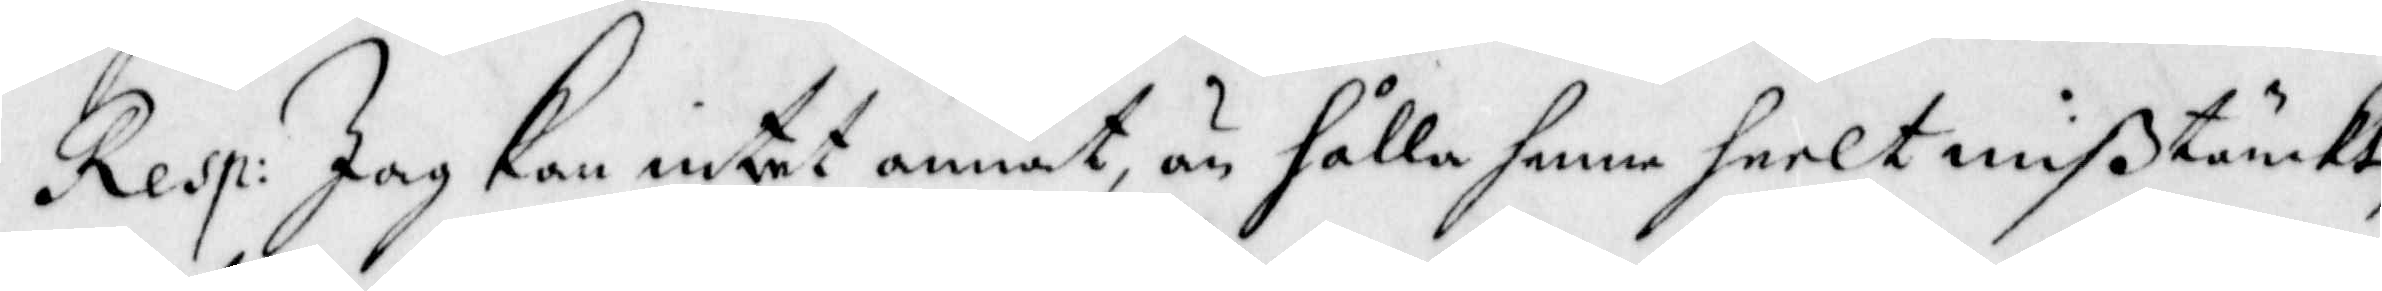Resp: Jag kan intet annat, än hålla henne heelt mißtänckt
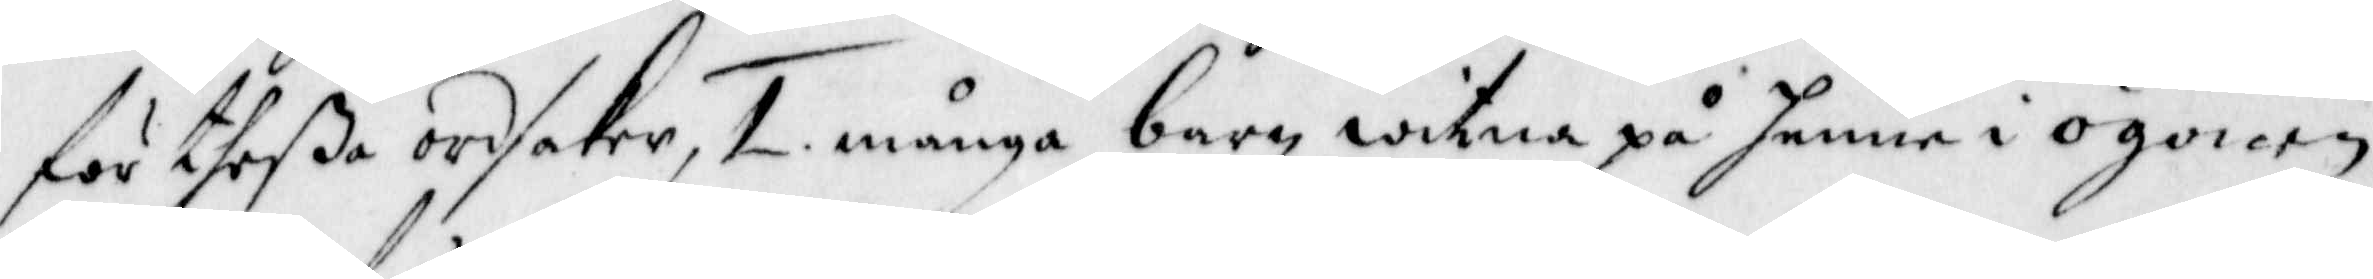för theße ordsaker, 1. många barn witna på henne i ögonen
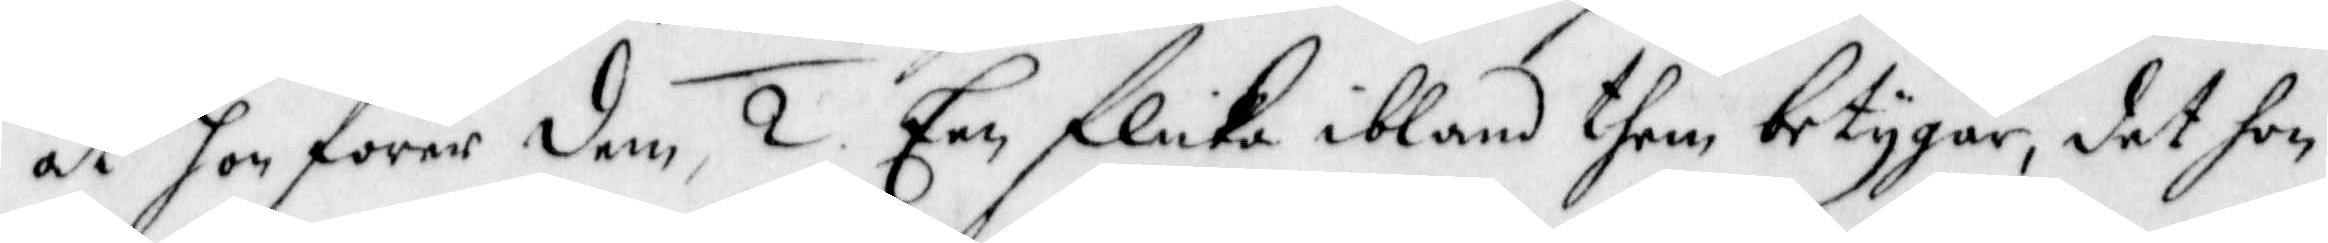at hon förer dem, 2. Een flicka ibland them betygar, det hon
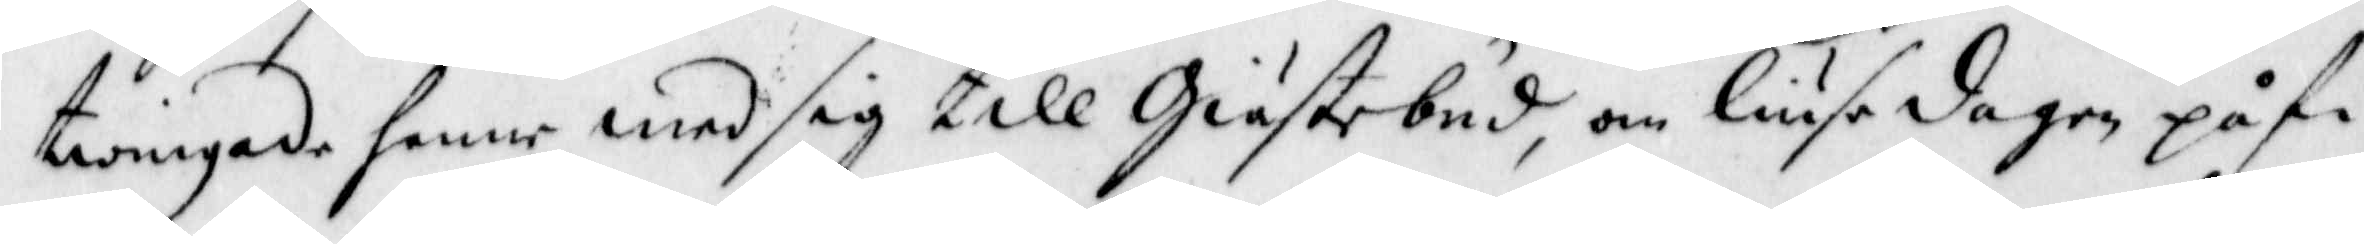twingade henne med sig till Giästebud, om liuse dagen på fi¬
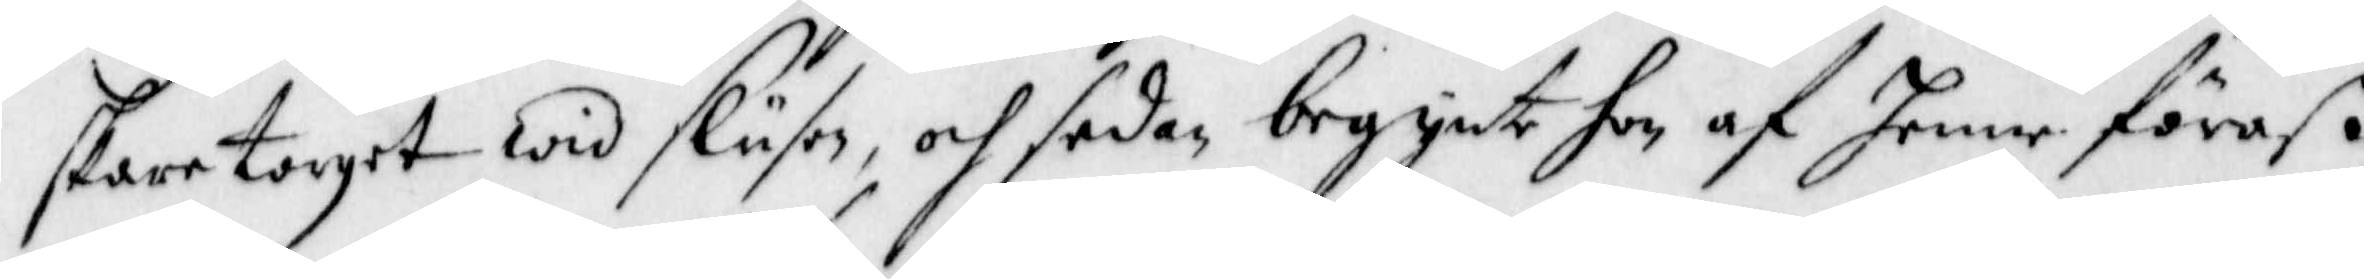skartorget wid slusen, och sedan begynte hon af henne föraß,
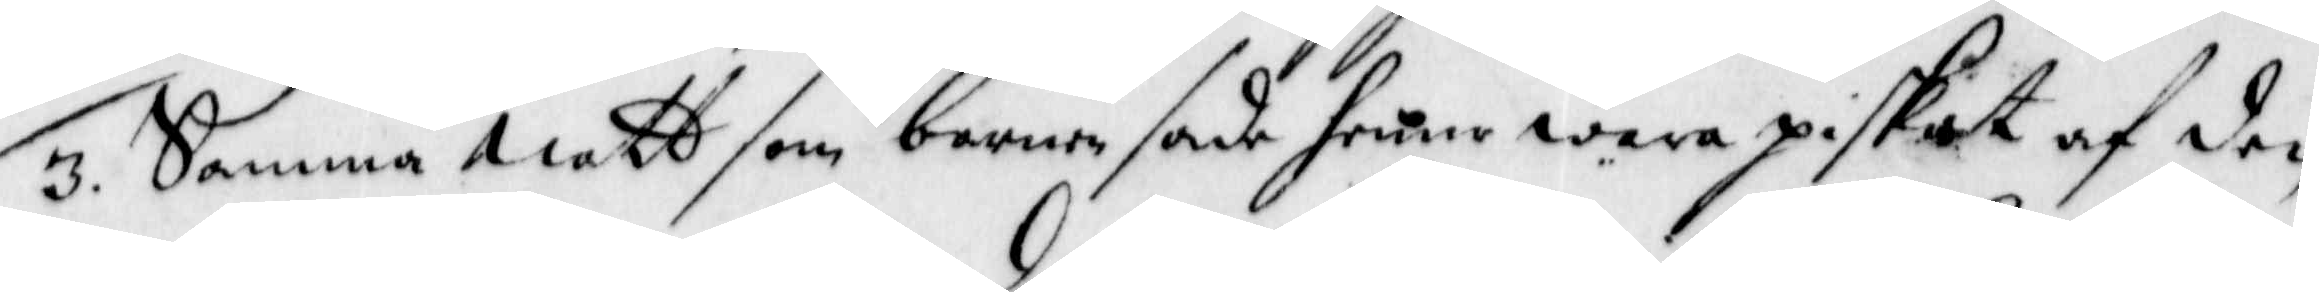3. Samma natt som barnen sade henne wara piskat af den
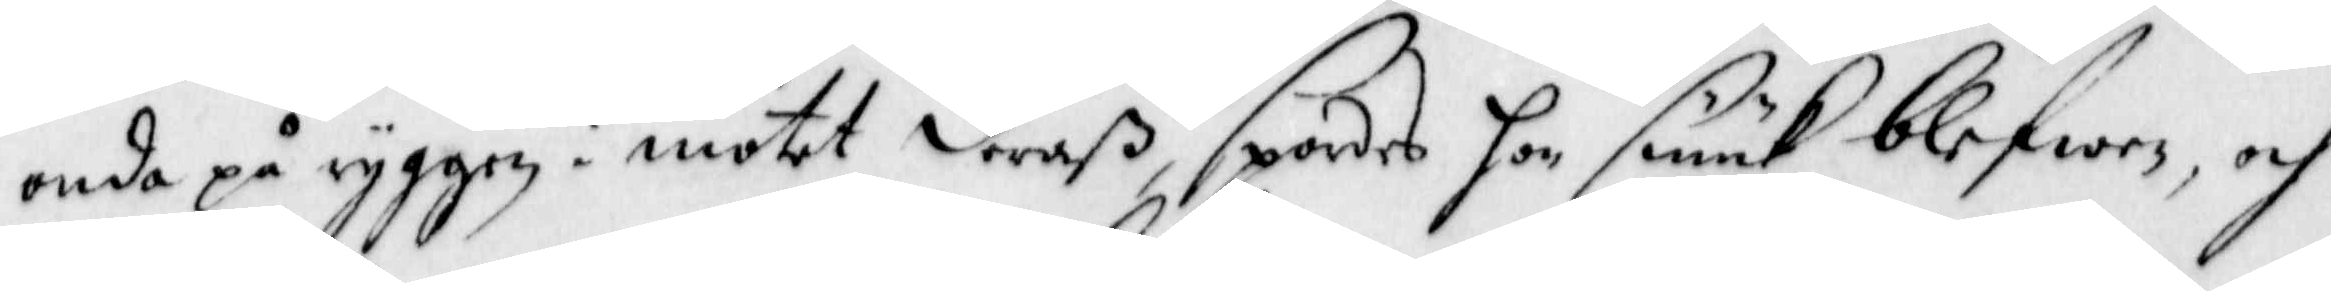onde på ryggen i mötet deraß, spordes hon siuuk blefwen, och
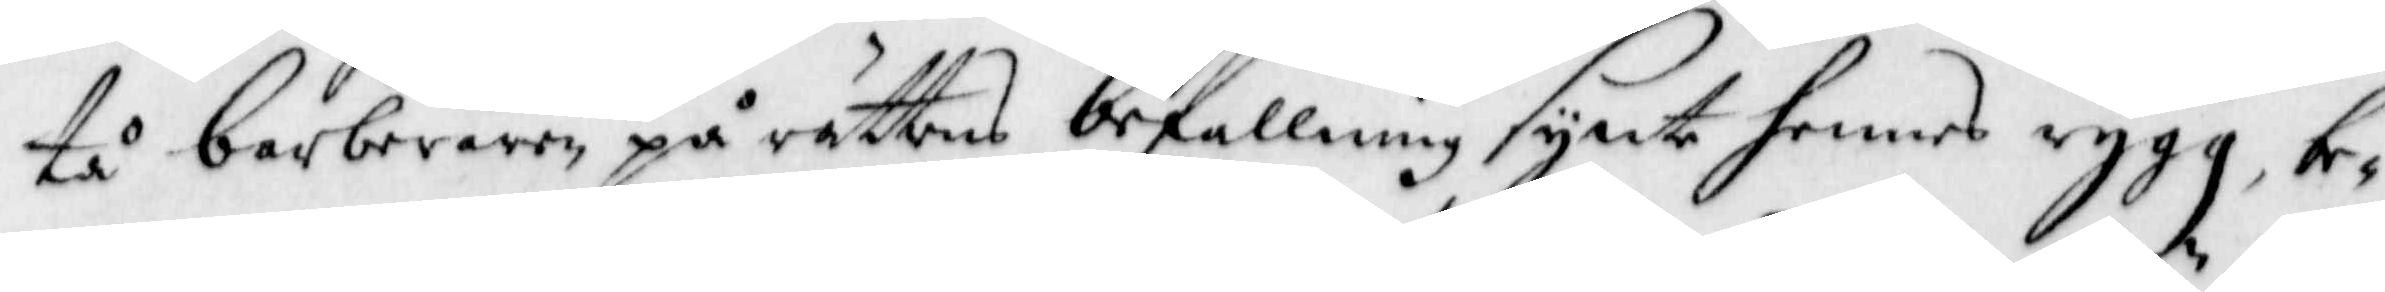tå barberaren på rättens befallning synte hennes rygg, be¬
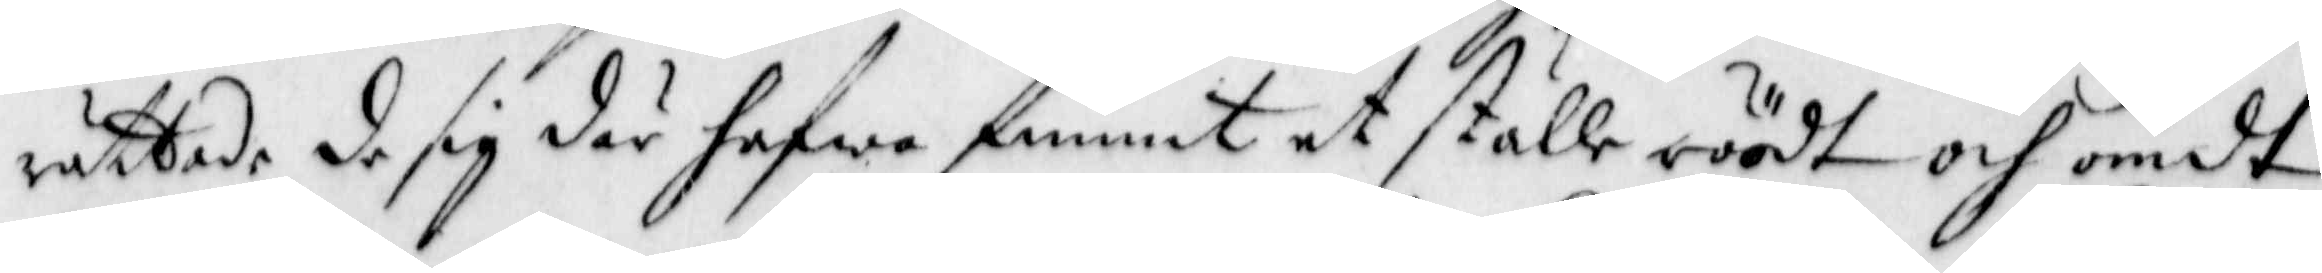rättade de sig där hafwa funnit et ställe röödt och ömdt,
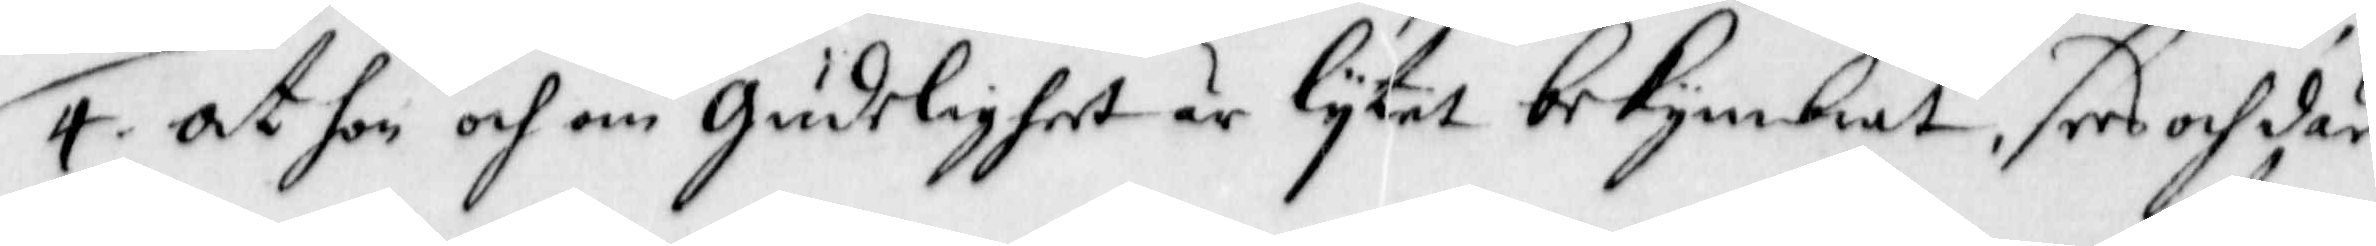4. at hon och om Gudeligheet är lytet bekymbrat, sees och där
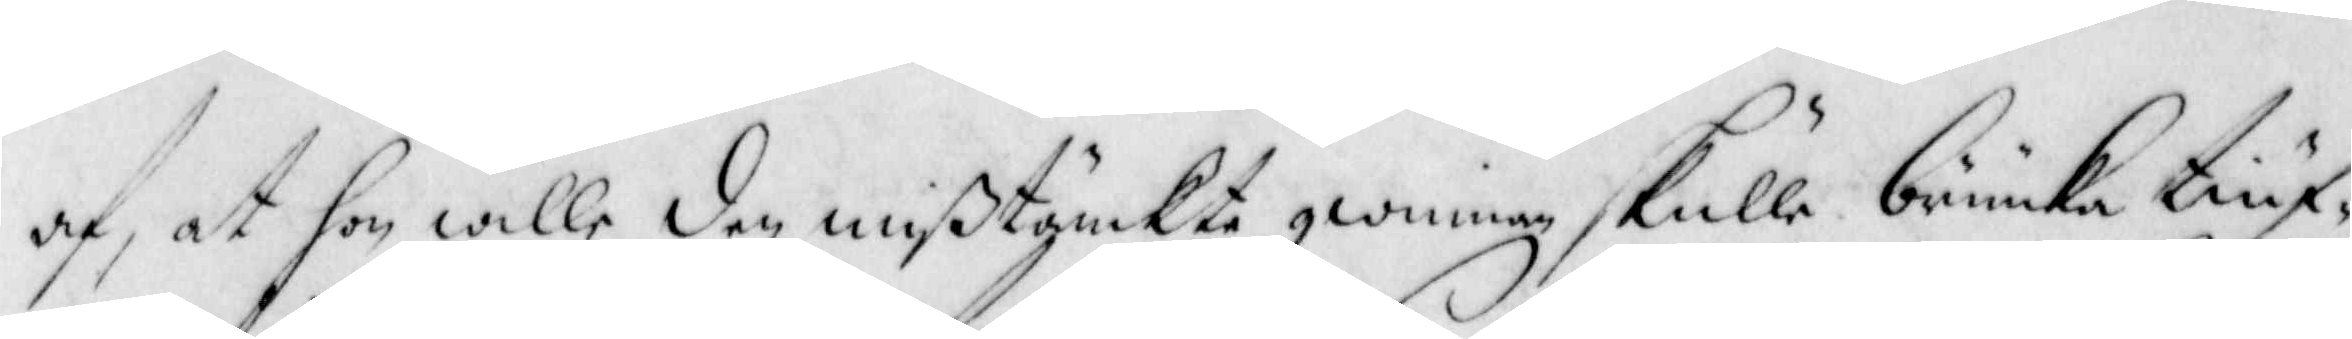af at hon wille den mißtänckte qwinnan skulle bruuka tiuf¬
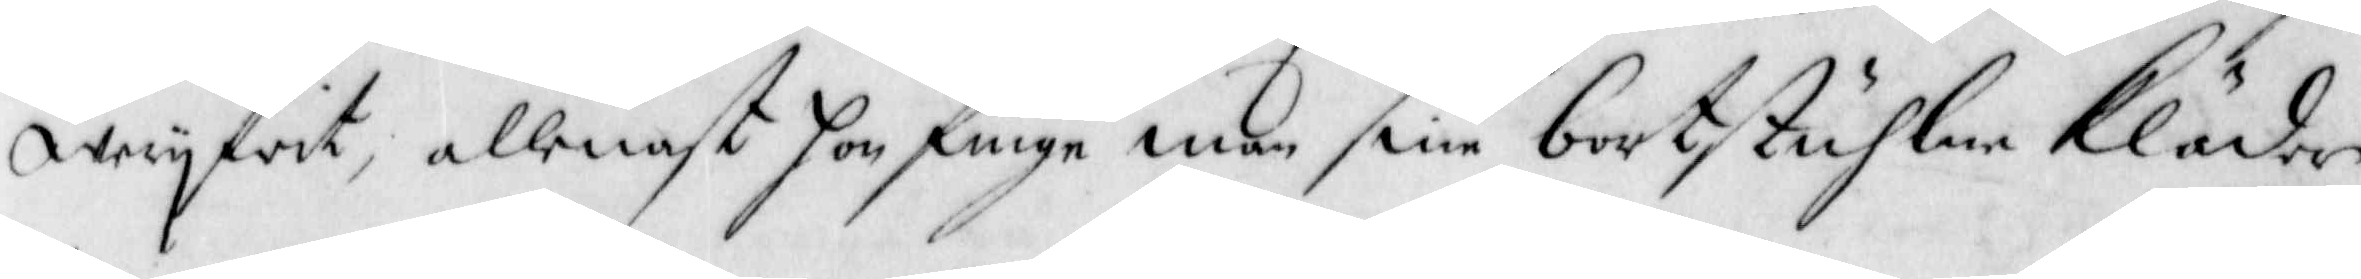wery frit, allenast hon finge man sine bortstuhlne kläder
